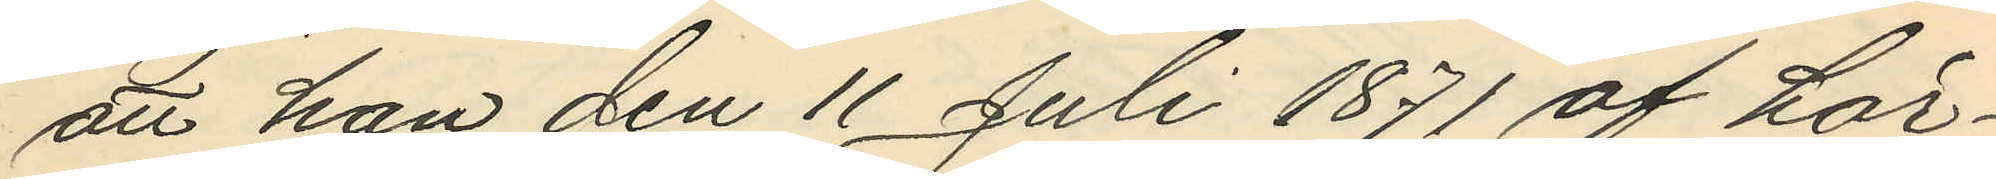att han den 11 Juli 1871 af här¬
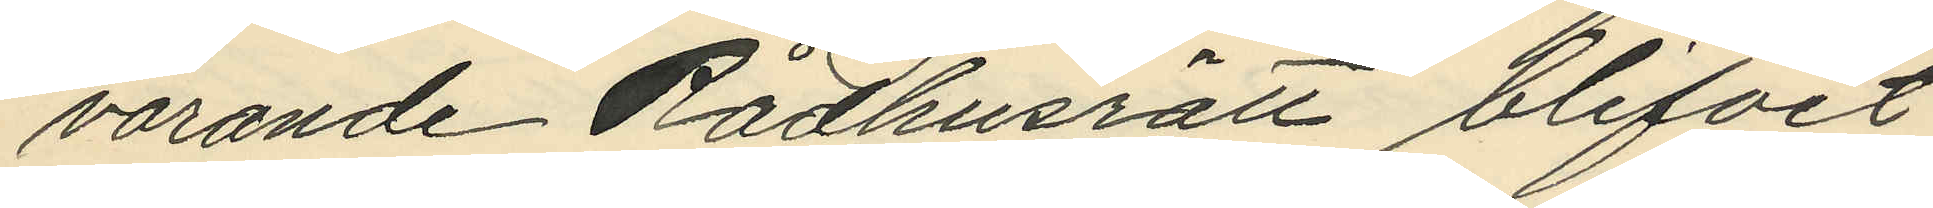varande Rådhusrätt blifvit
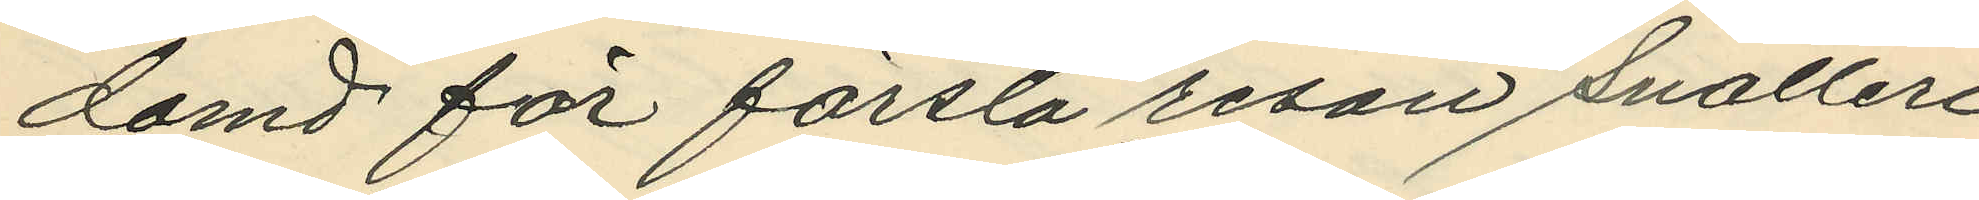domd för första resan snatteri
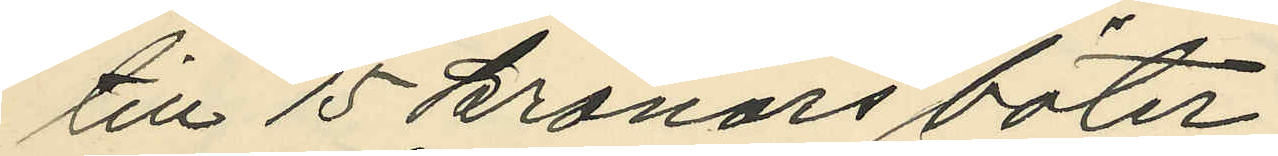till 15 kronors böter;
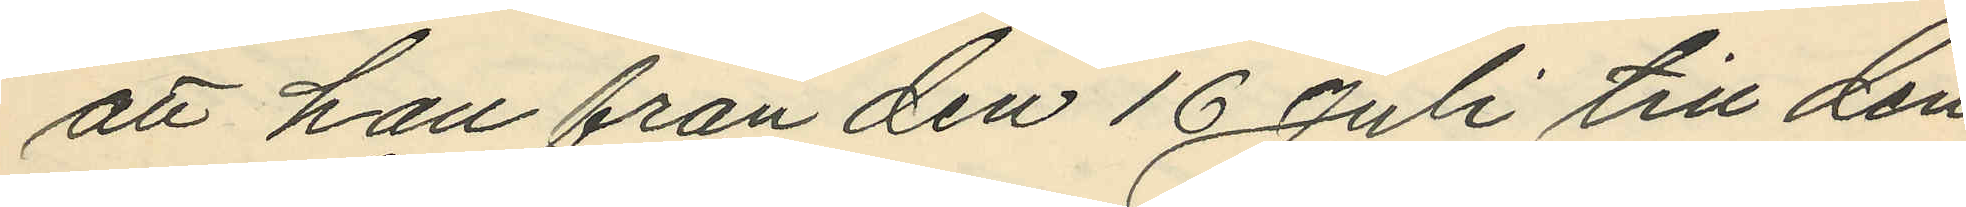att han från den 16 Juli till den
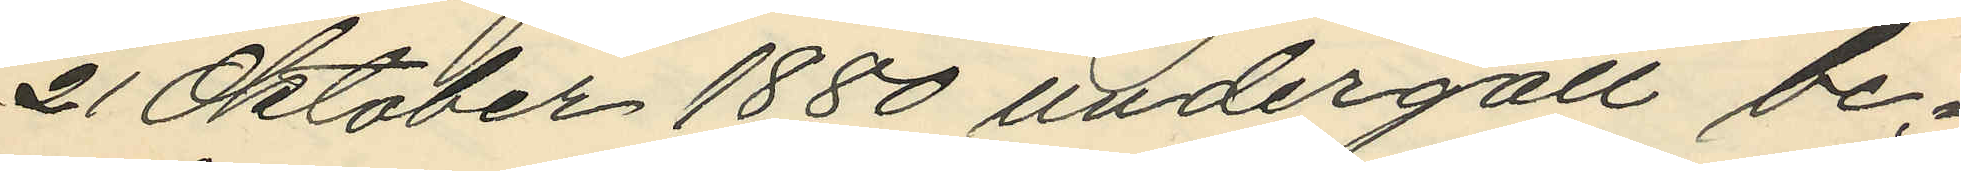21 Oktober 1880 undergått be¬
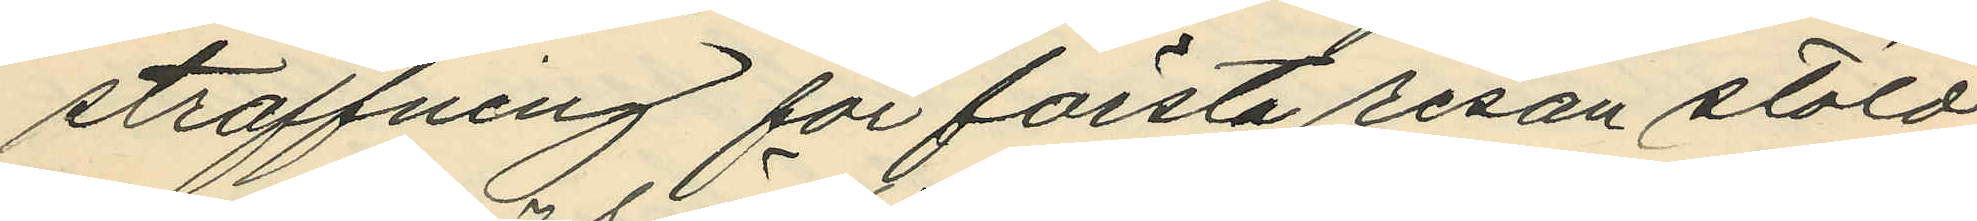straffning för första resan stöld
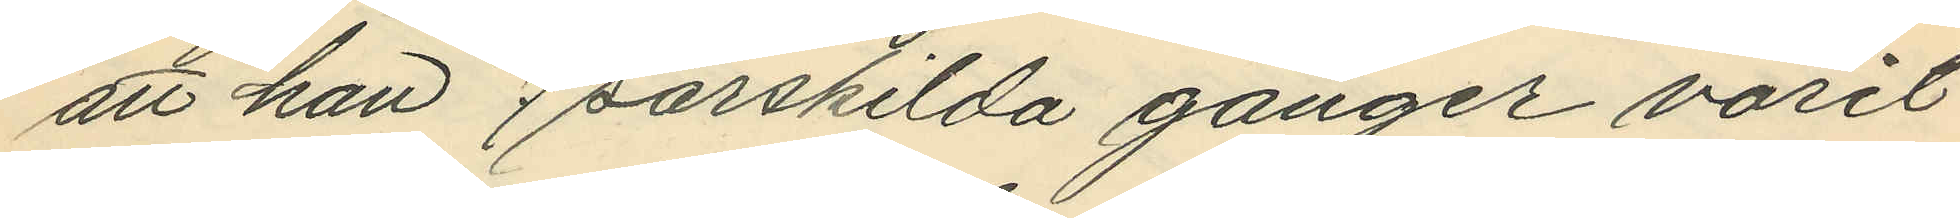att han 7 särskilda gånger varit
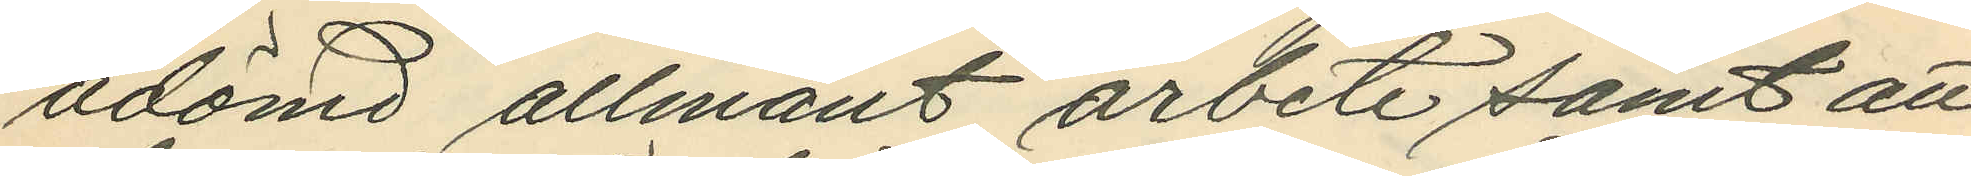ådömd allmänt arbete samt att
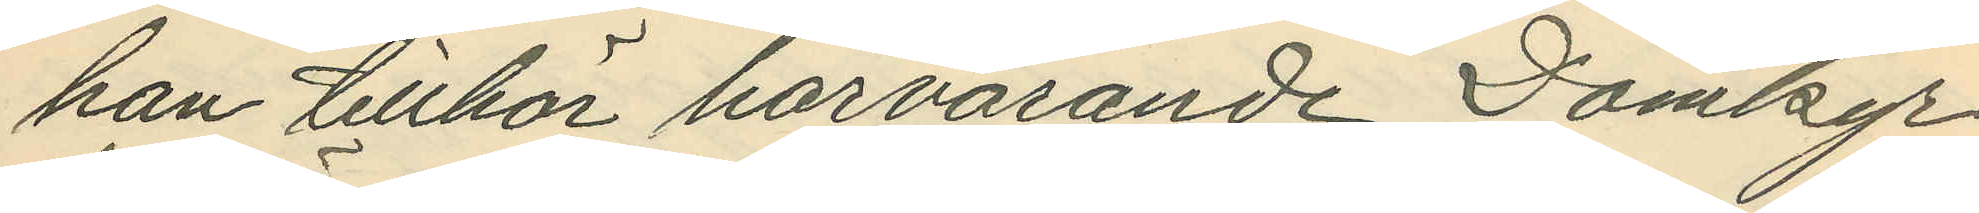han tillhör härvarande Domkyr¬
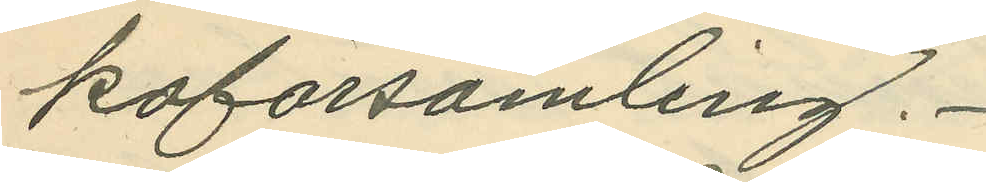koförsamling.
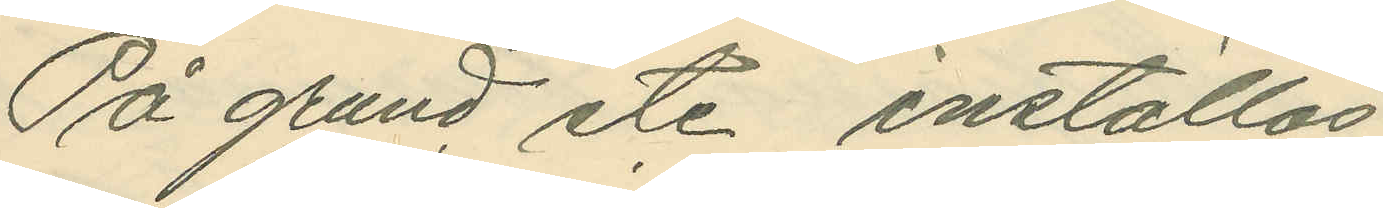På grund etc. inställas.
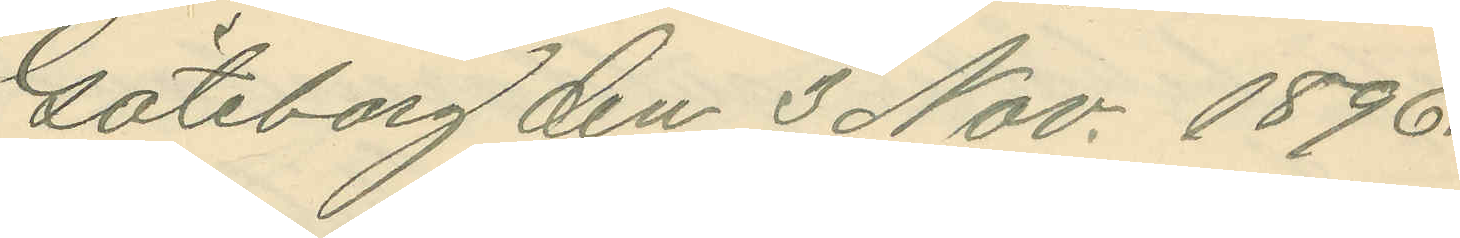Göteborg den 3 Nov. 1896.
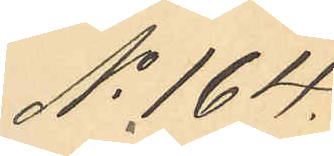No 164.
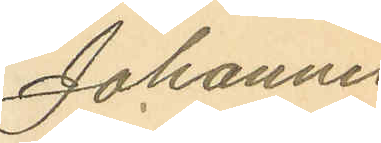Johannes
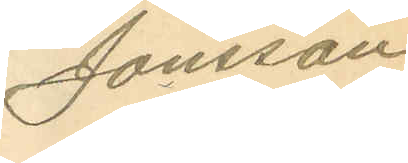Jonsson.
